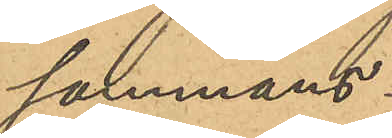sammans
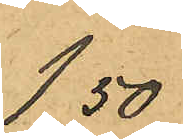1,50
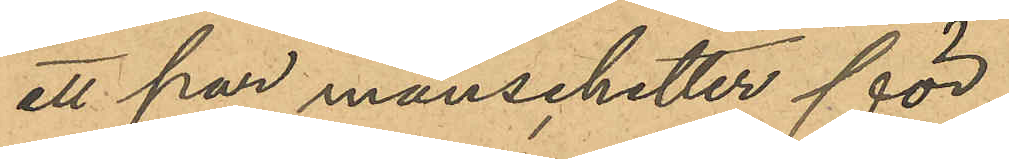ett par manschetter för
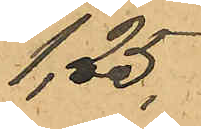1,25
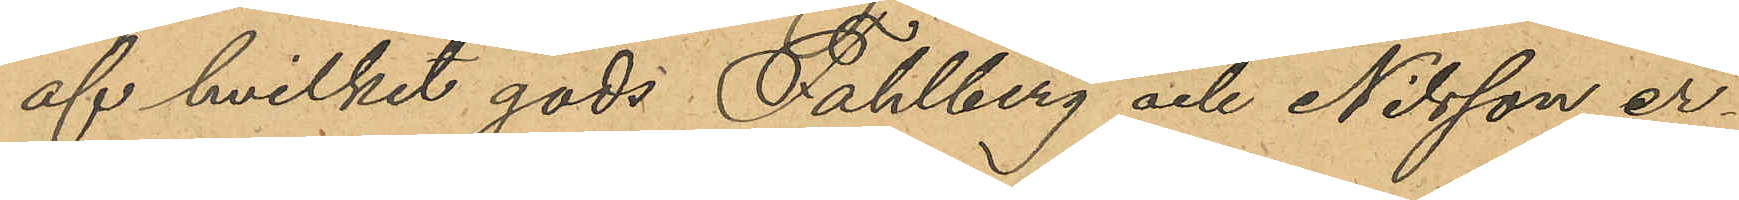af hvilket gods Fahlberg och Nilsson er¬
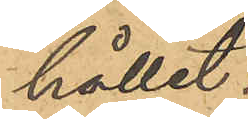hållit:
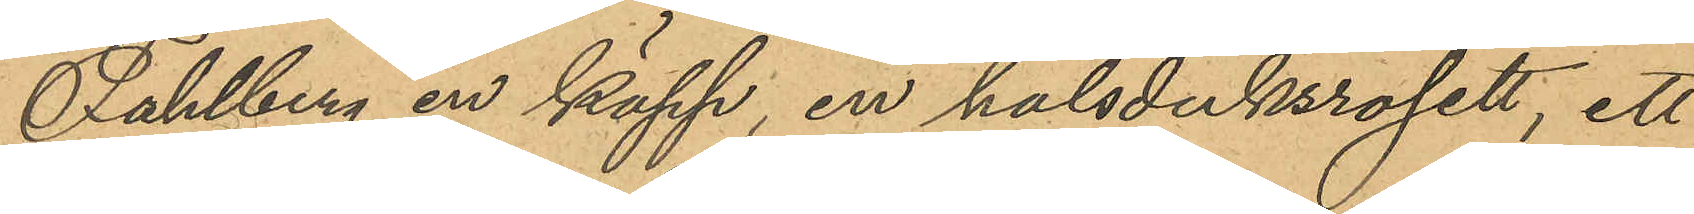Fahlberg en käpp, en halsduksrosett, ett
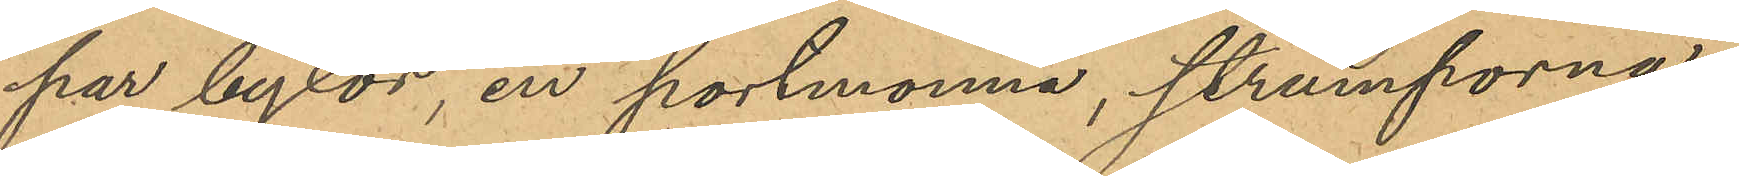par byxor, en portmonnä, strumporna,
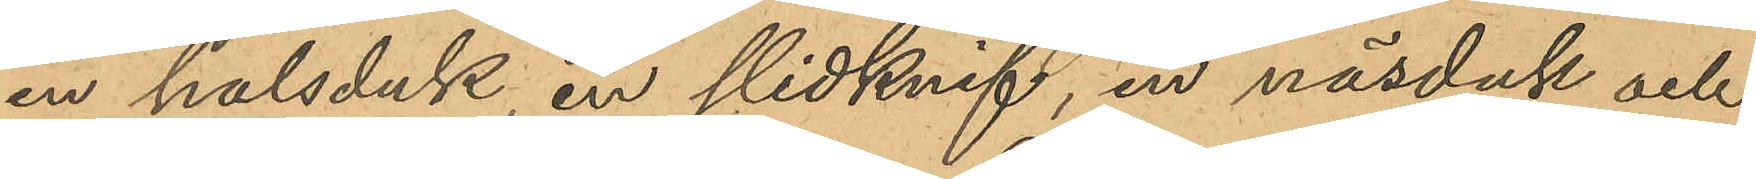en halsduk, en slidknif, en näsduk och
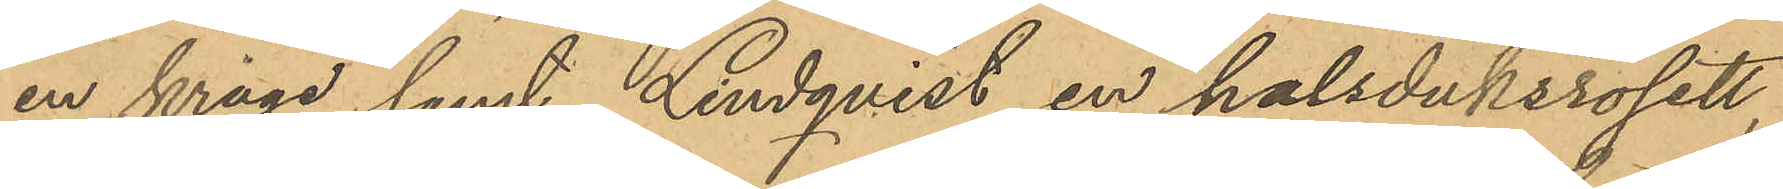en krage samt Lindqvist en halsduksrosett,
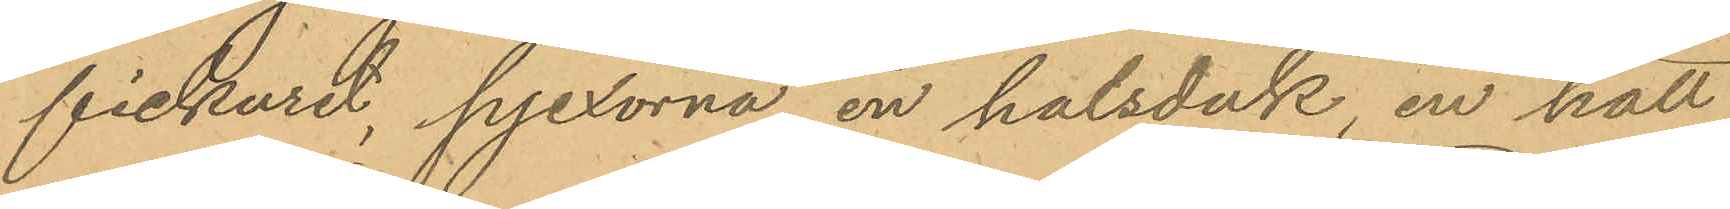fickuret, pjexorna, en halsduk, en hatt.
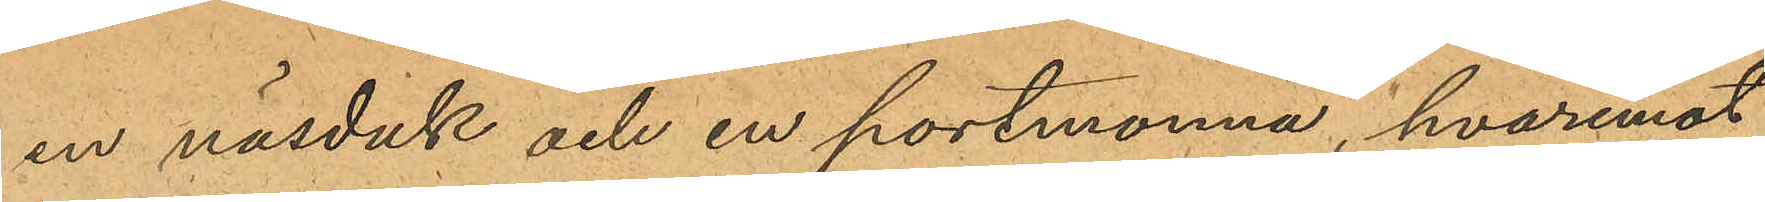en näsduk och en portmonnä, hvaremot
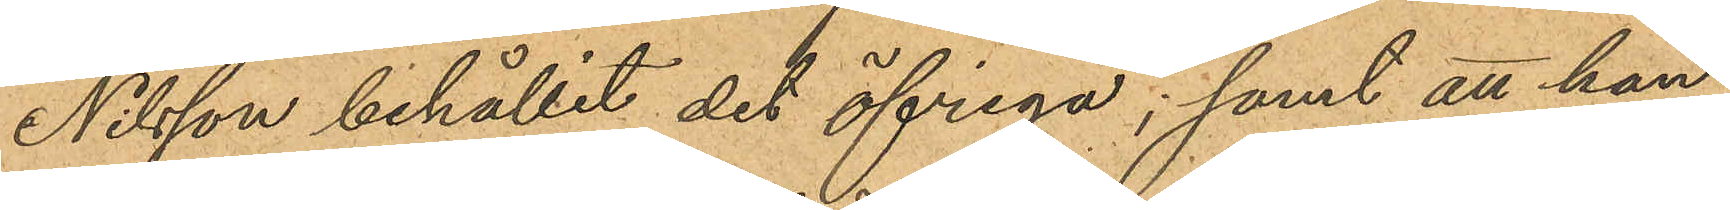Nilsson behållit det öfriga; samt att han
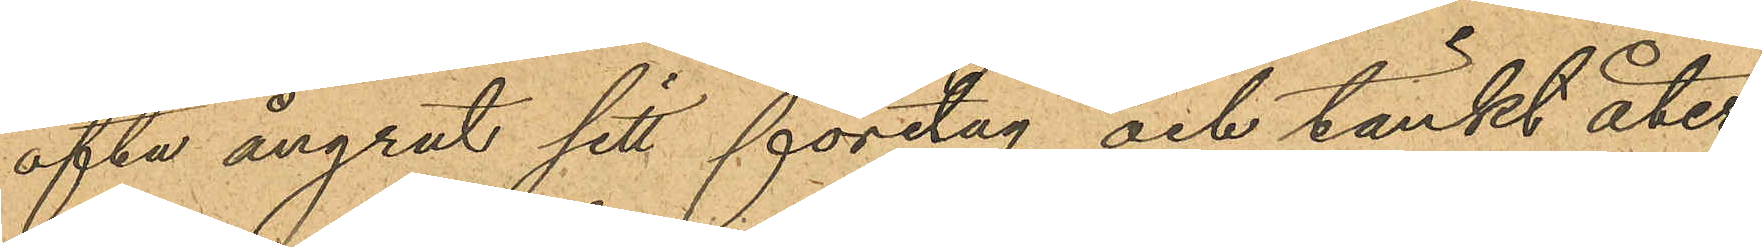ofta ångrat sitt företag och tänkt åter¬
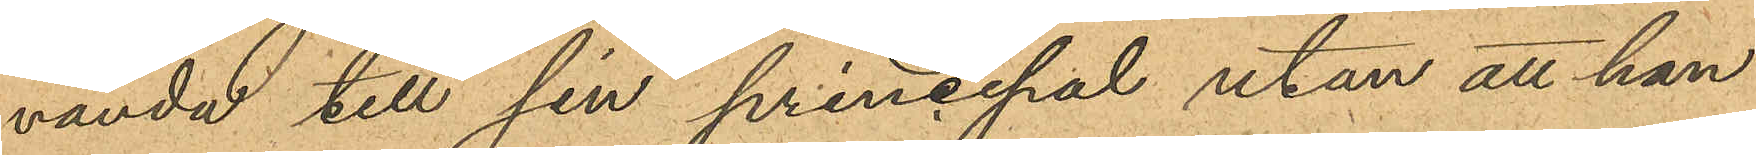vända till sin princepal utan att han
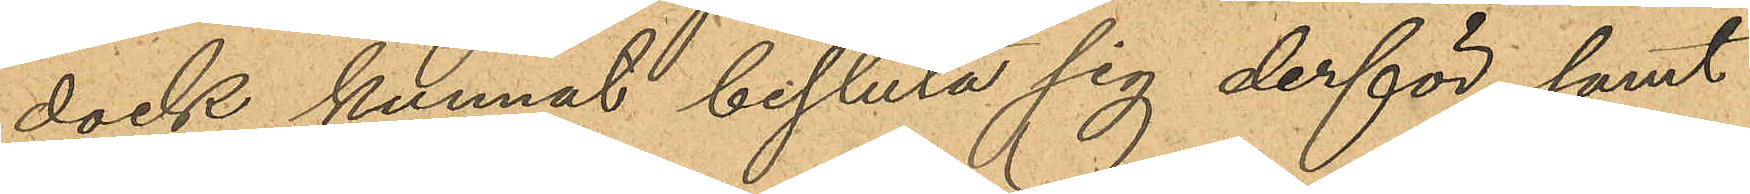dock kunnat besluta sig derför, samt
